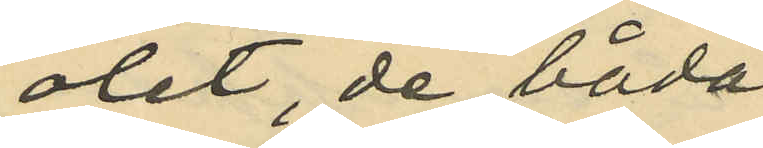ölet, de båda
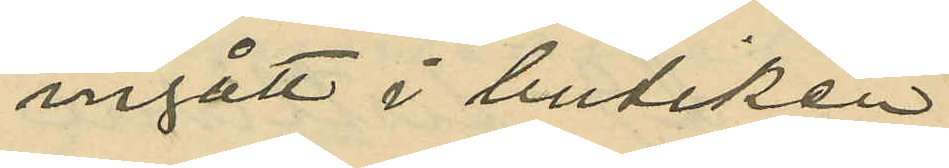ingått i butiken
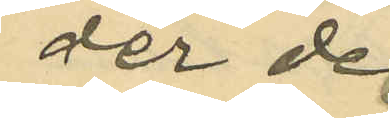der de
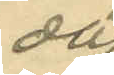då
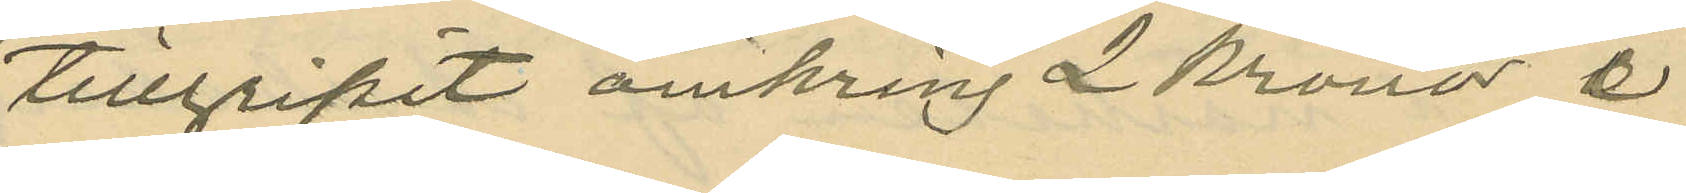tillgripit omkring 2 kronor i
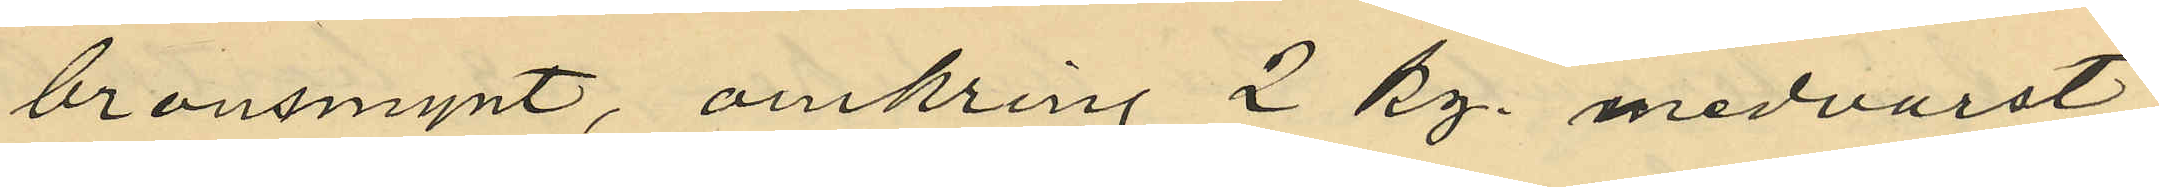bronsmynt, omkring 2 kg. medvurst,
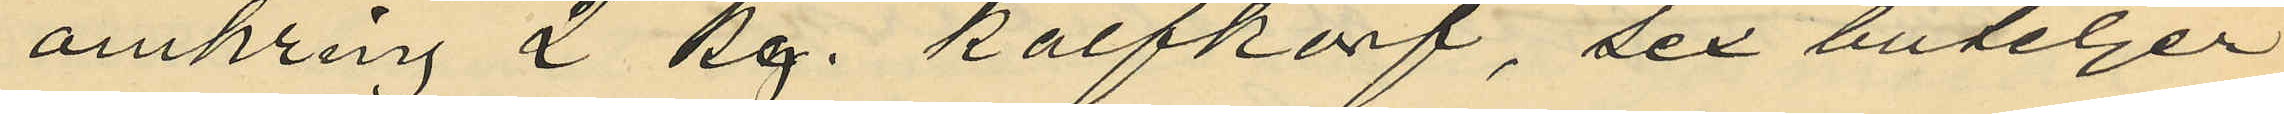omkring 2 kg. kalfkorf, sex buteljer
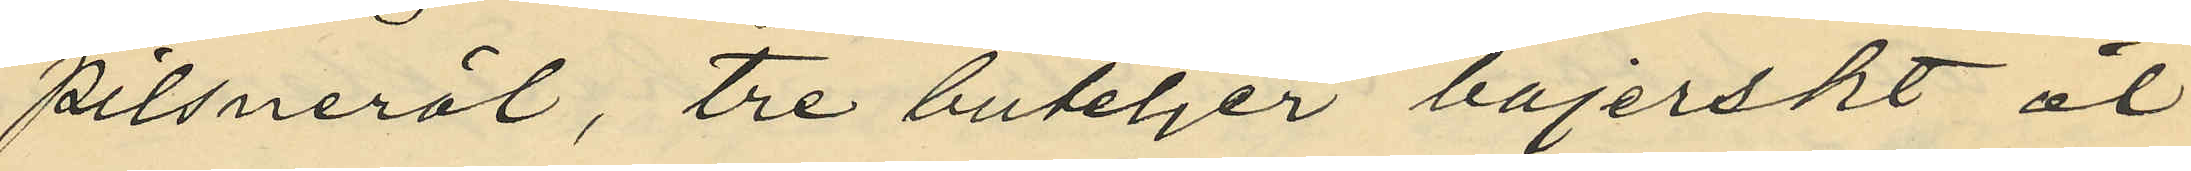pilsneröl, tre buteljer bajerskt öl
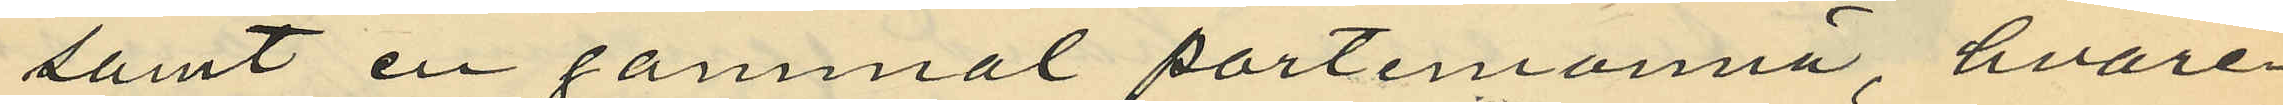samt en gammal portmonnä, hvare
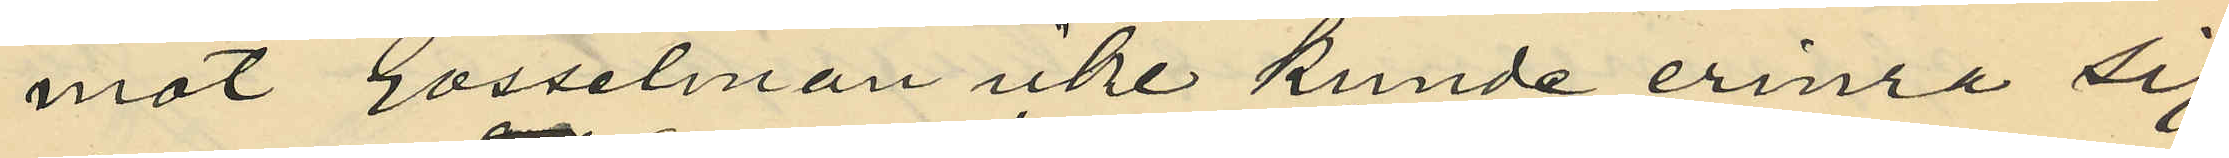mot Gosselman icke kunde erinra sig
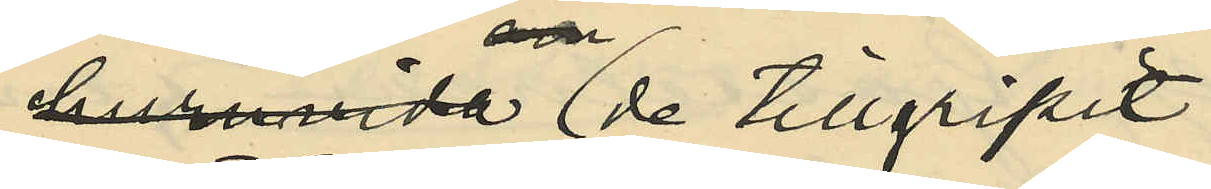huruvida de tillgripit
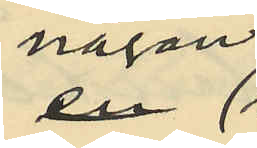någon
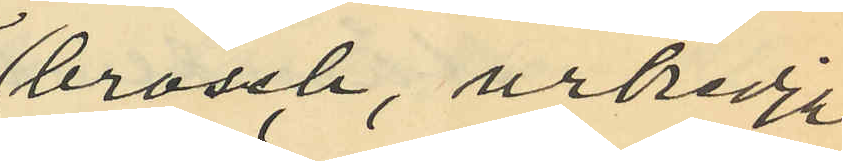brosch, urkedja
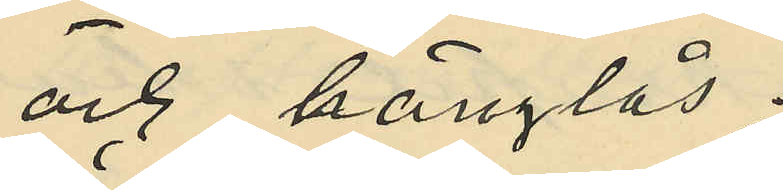och hänglås;
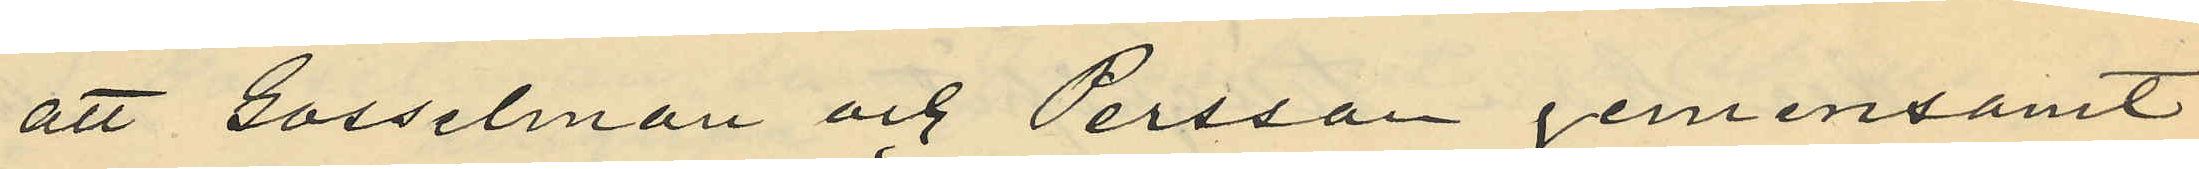att Gosselman och Persson gemensamt
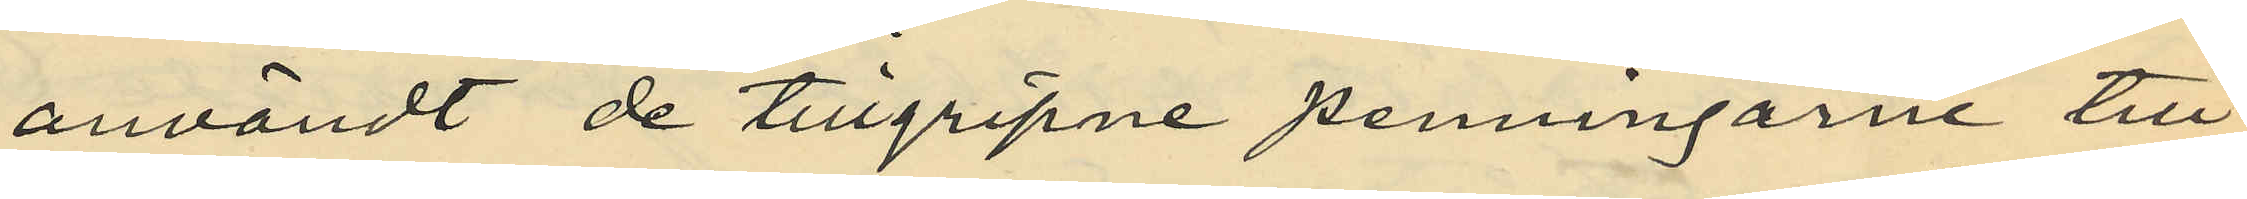användt de tillgripne penningarne till
